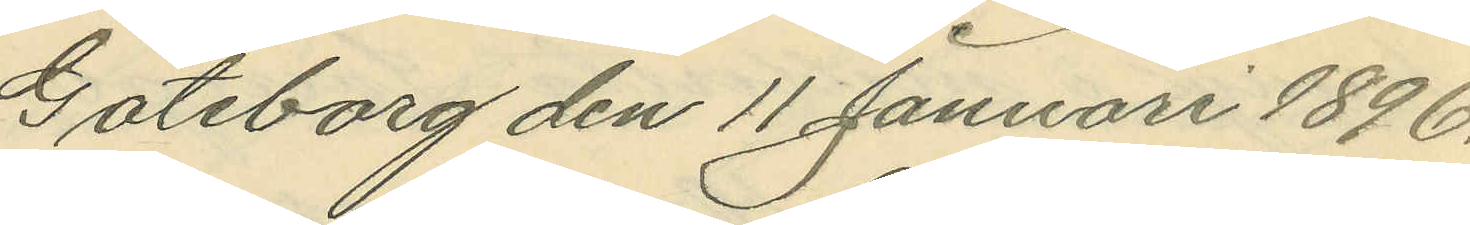Göteborg den 11 Januari 1896.
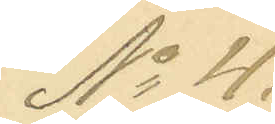No 4.
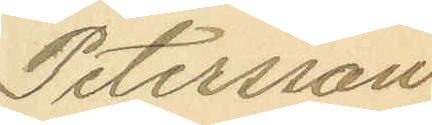Petersson
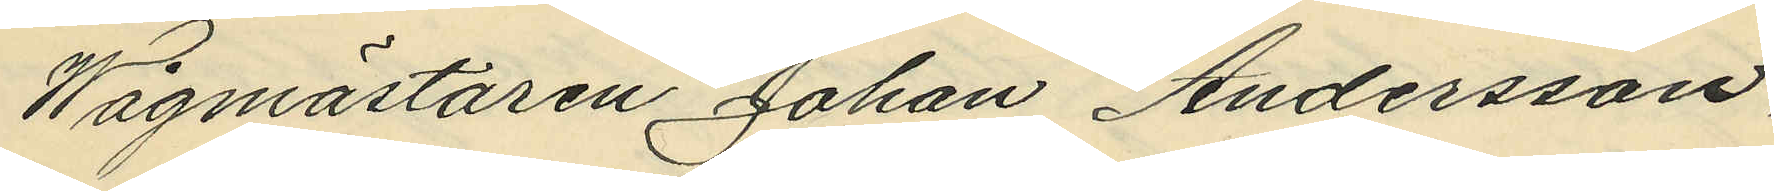Wågmästaren Johan Andersson,
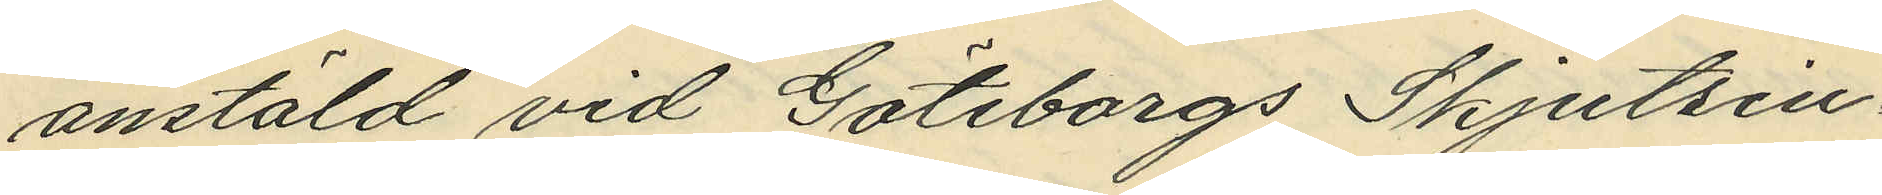anstäld vid Göteborgs skjutsin¬
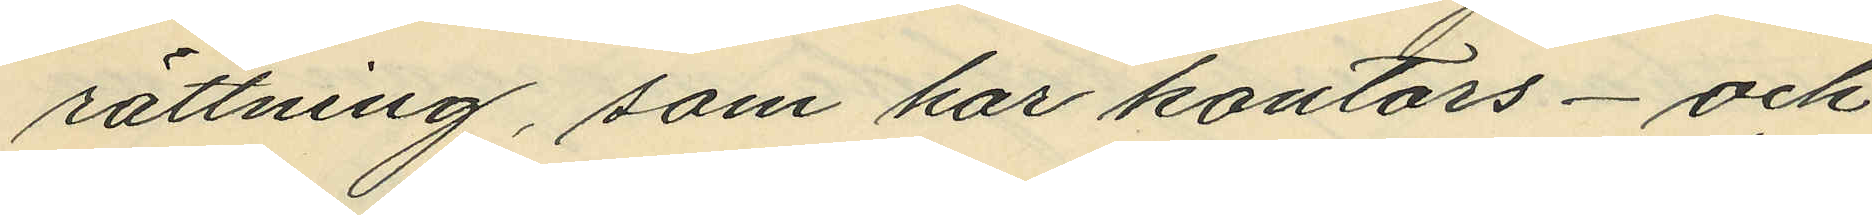rättning, som har kontors- och
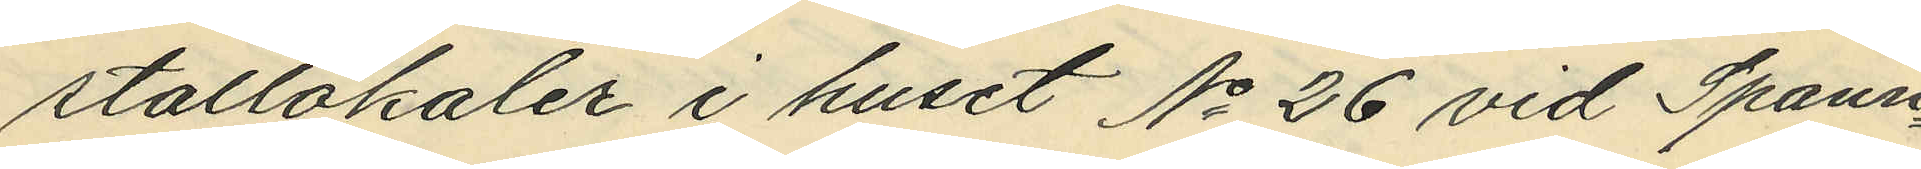stallokaler i huset No 26 vid Spann¬
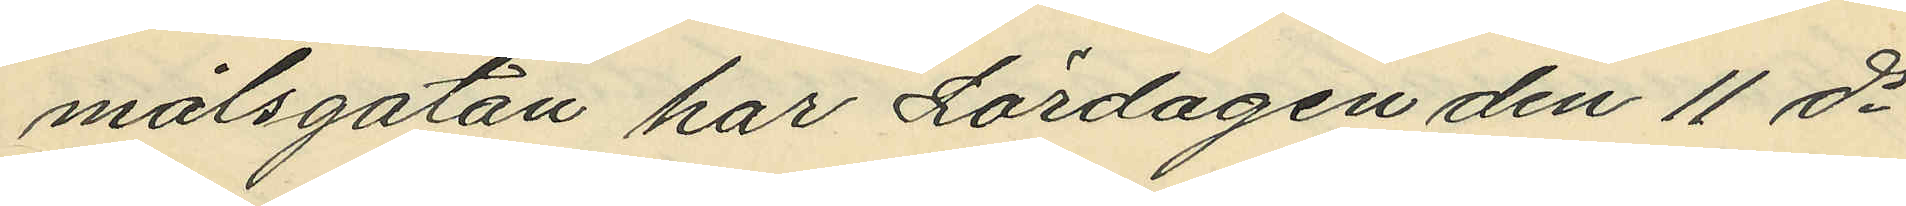målsgatan har Lördagen den 11 ds
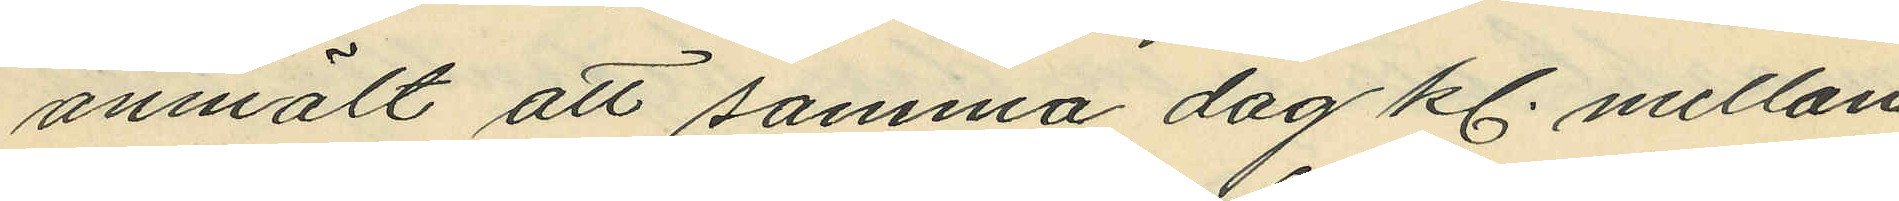anmält att samma dag kl. mellan
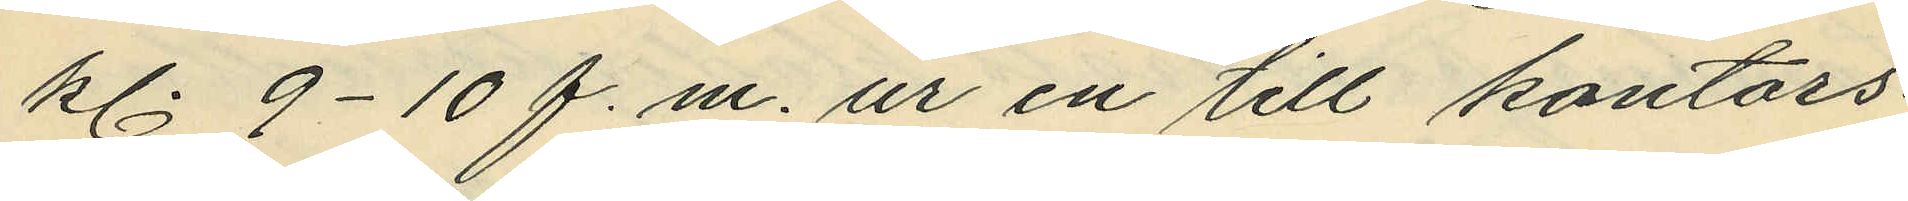kl. 9-10 f. m. ur en till kontors¬
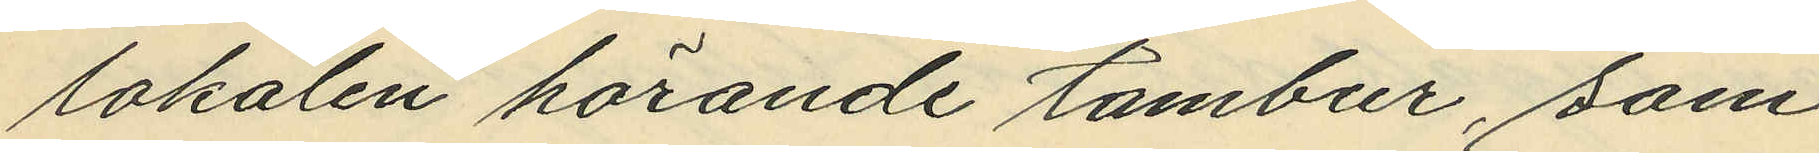lokalen hörande tambur, som
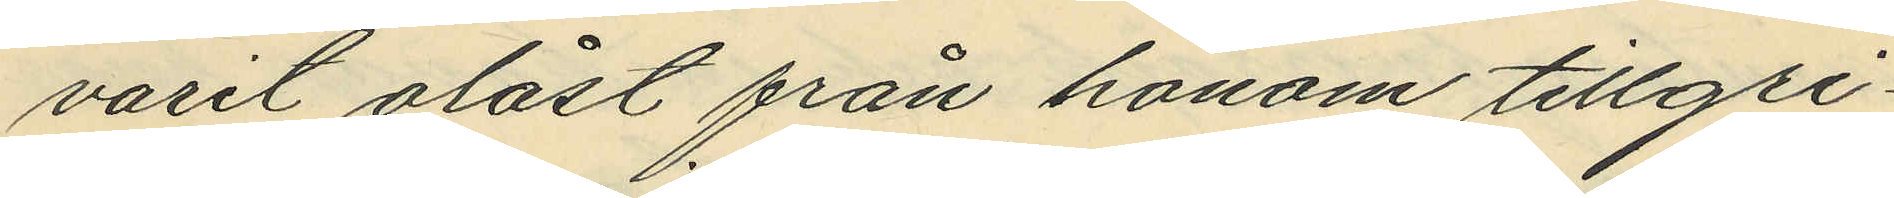varit olåst från honom tillgri¬
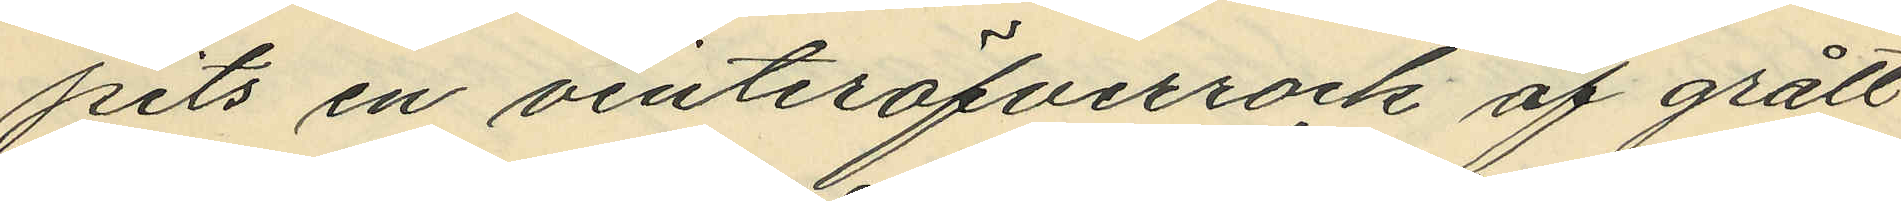pits en vinteröfverrock af grått
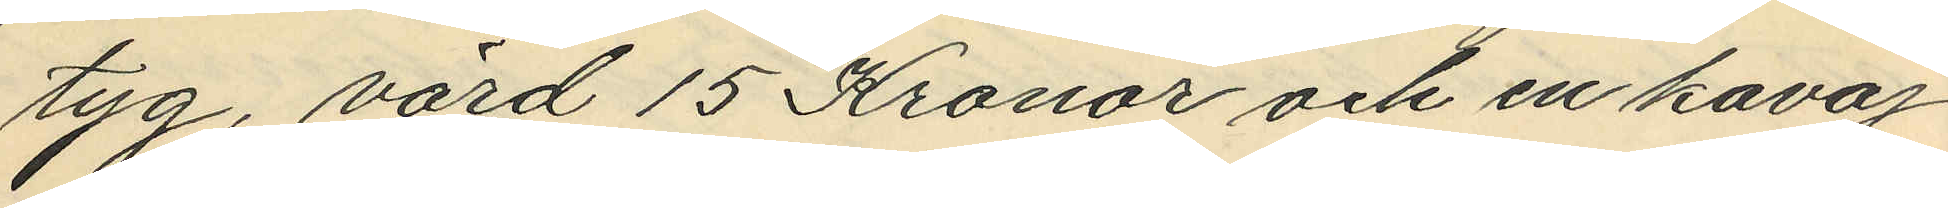tyg, värd 15 Kronor och en kavaj
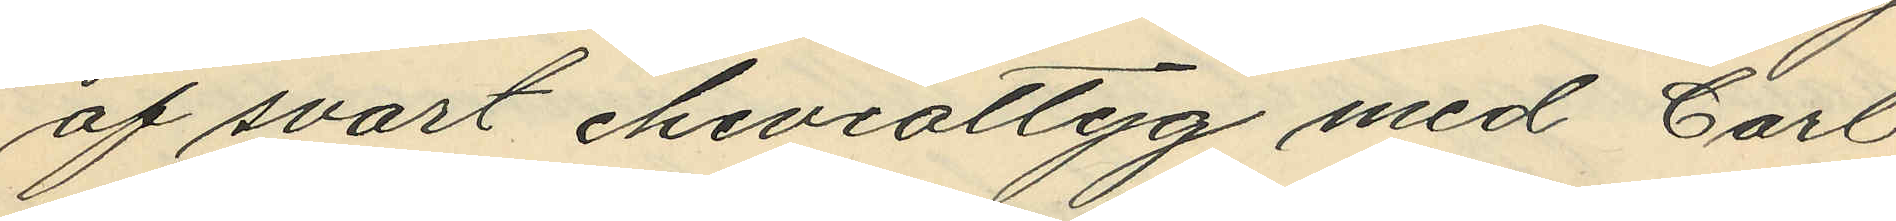af svart cheviottyg med Carl
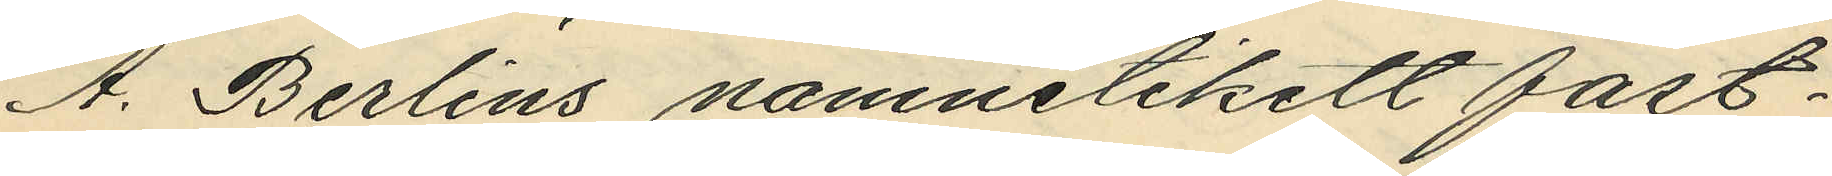A. Berlins namnetikett fast¬
